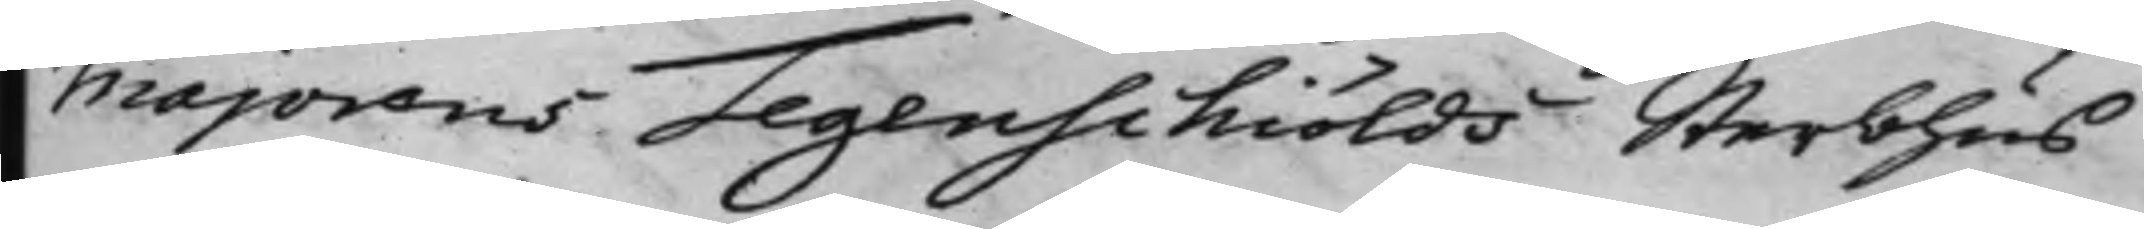Majorens Tegenschiölds Sterbhus
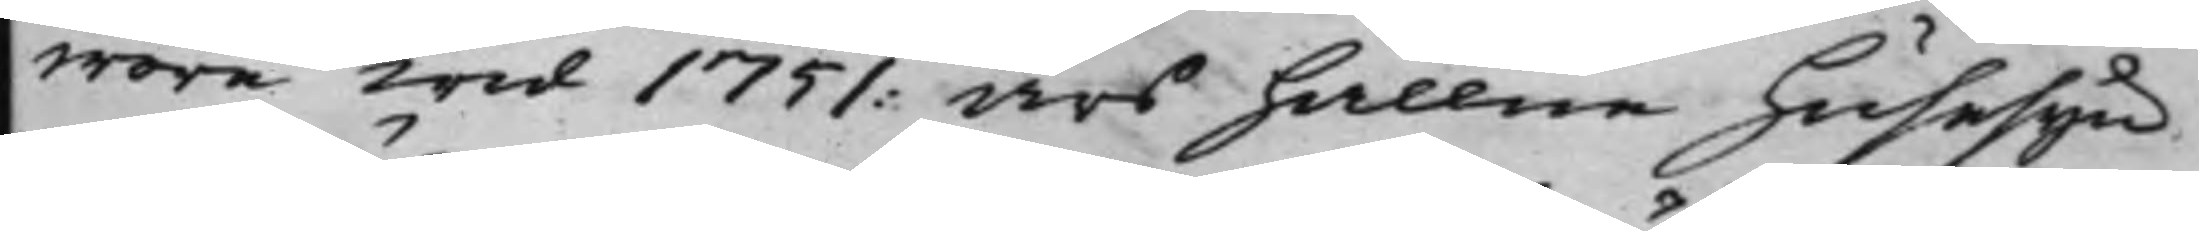wore wid 1751: års hållne husesyn
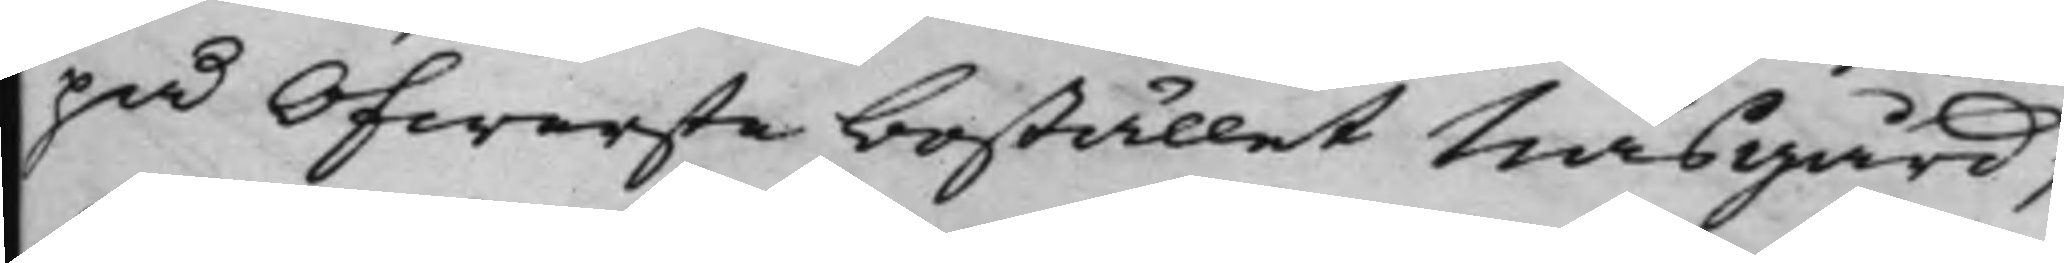på Öfwerstebostället Näsgård,
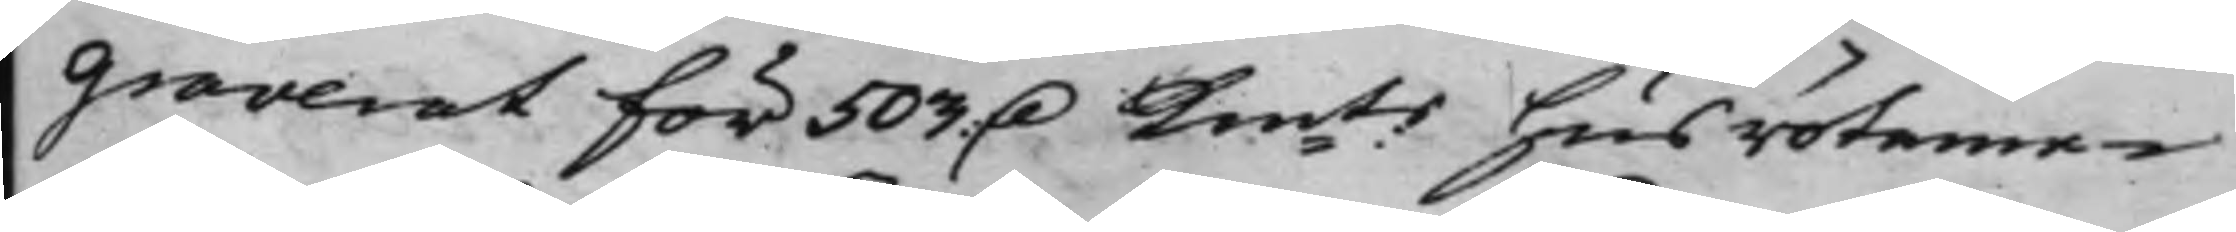graverat för 503 D Kmts husröteme¬
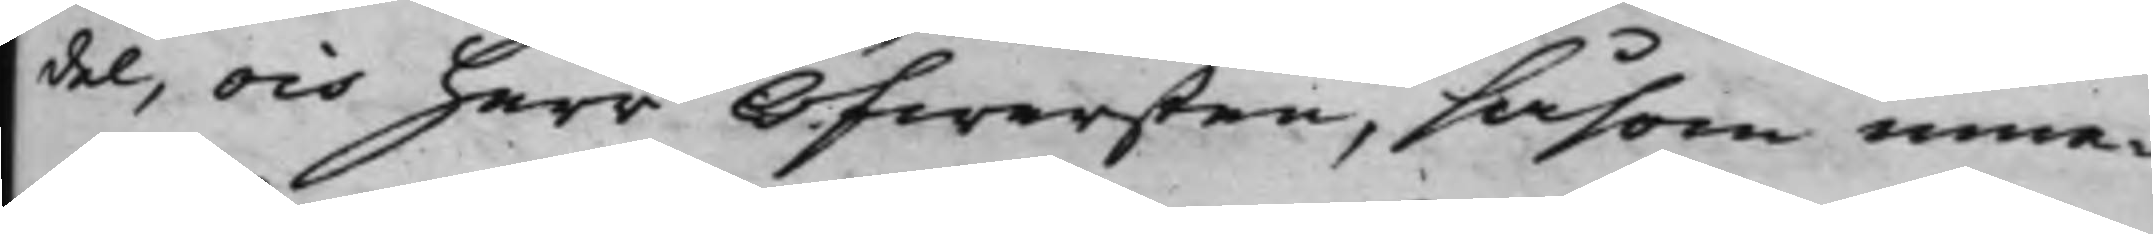del, och herr Öfwersten, såsom inne¬
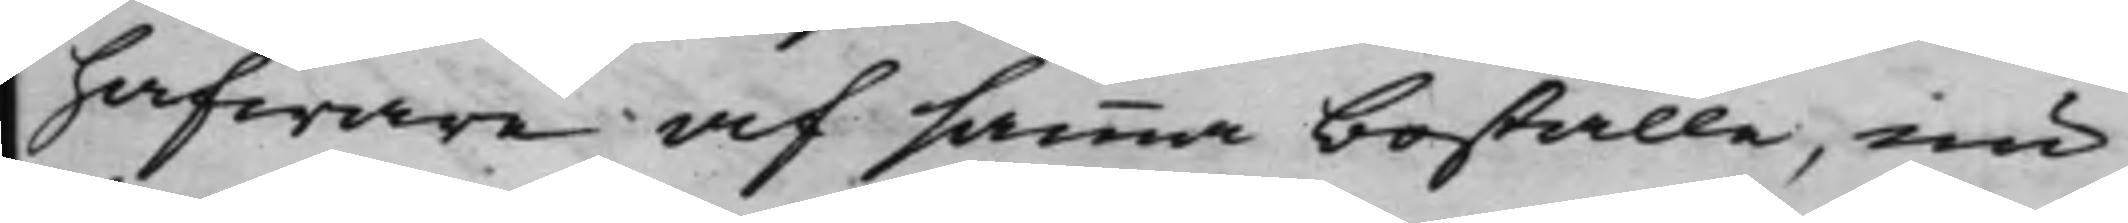hafware af samma boställe, nu
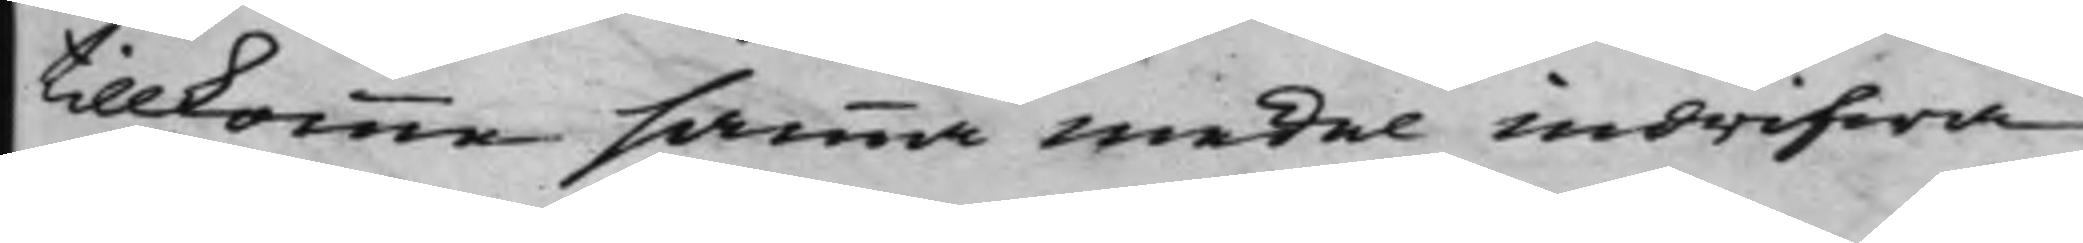tillkomme samma medel indrifwa
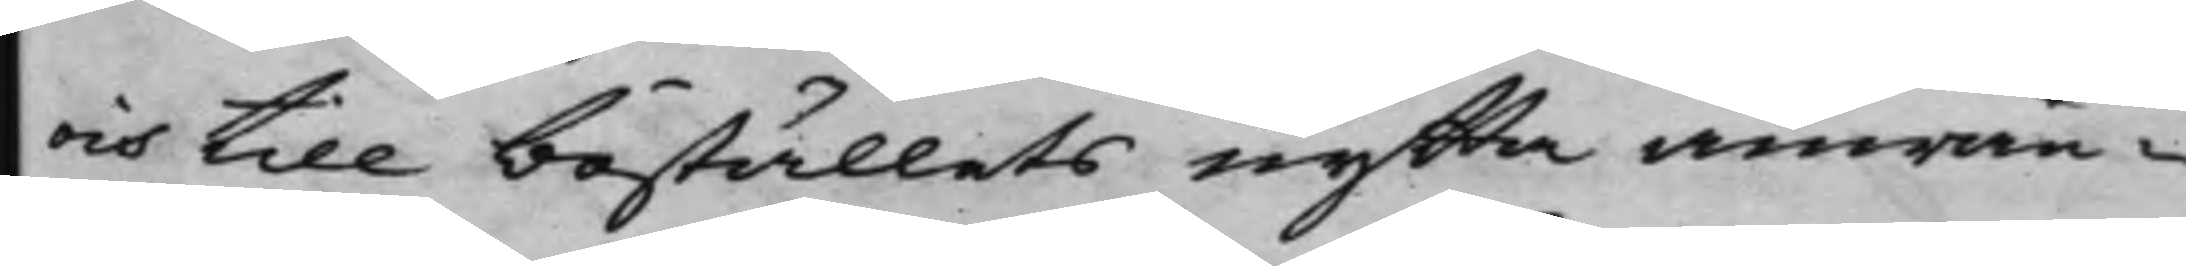och till boställets nytta anwän¬
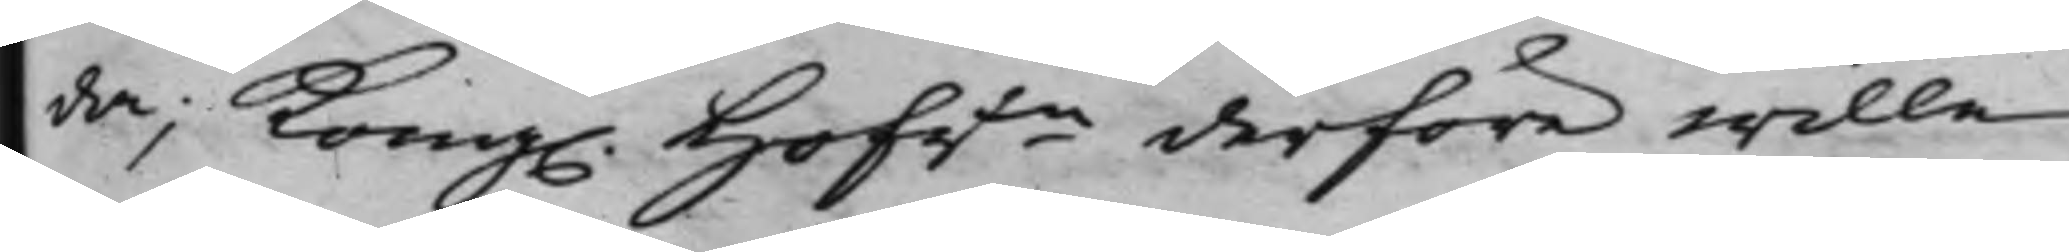da; Kong. Hofrtn derföre wille
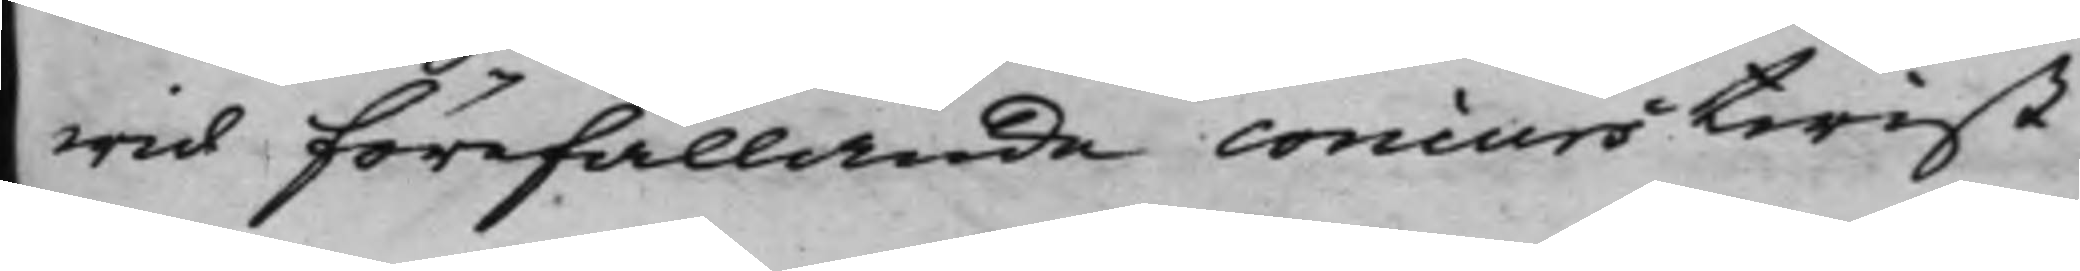wid förefallande concurstwist
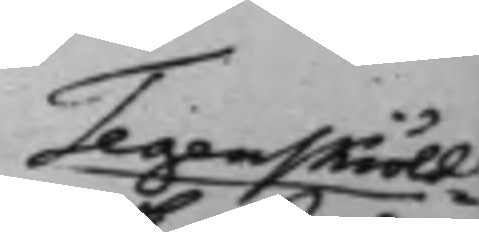Tegenskiöld¬
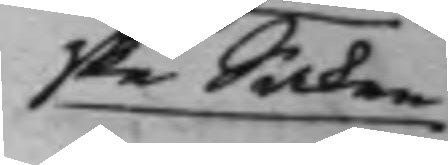ske Saken
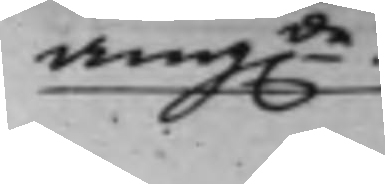ang.de.
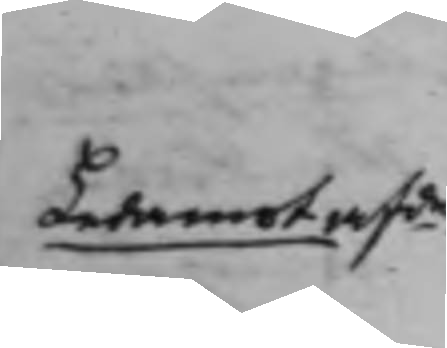Ledamot afde 
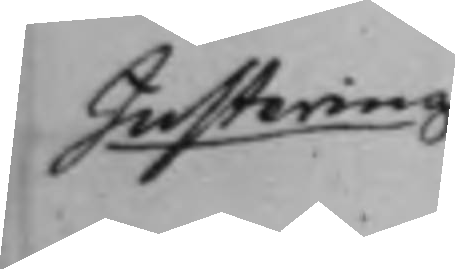Justering 
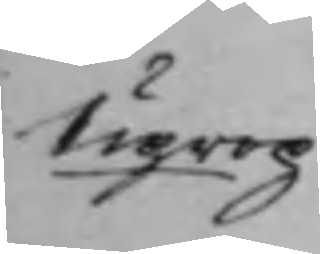Uprop
